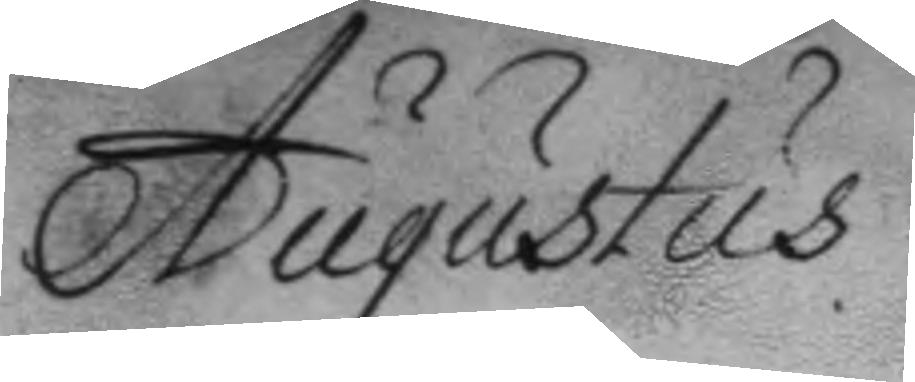Augustus
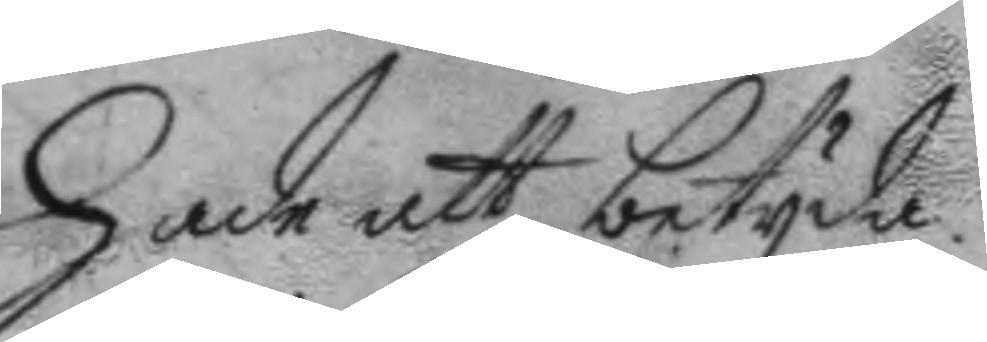hade att betyda.
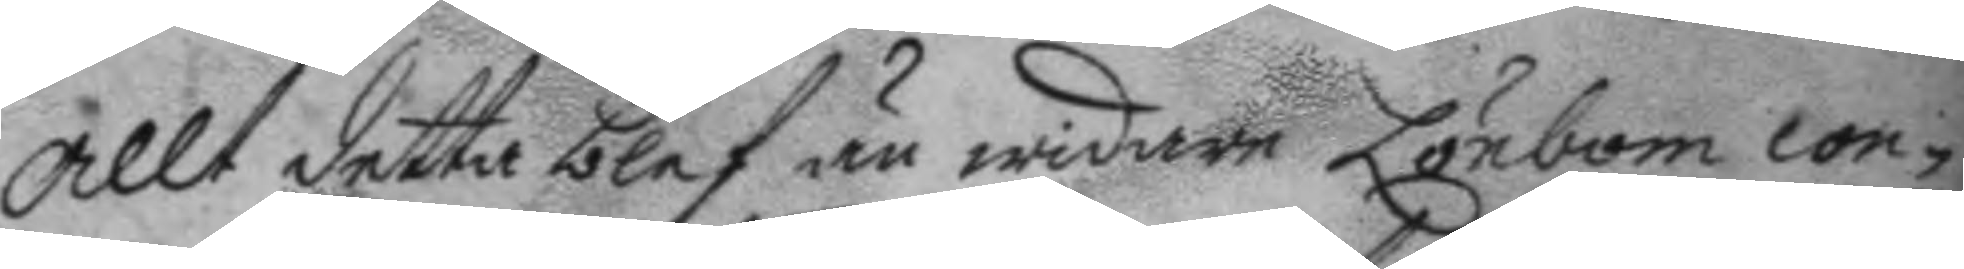Allt detta blef än widare Lönbom con¬
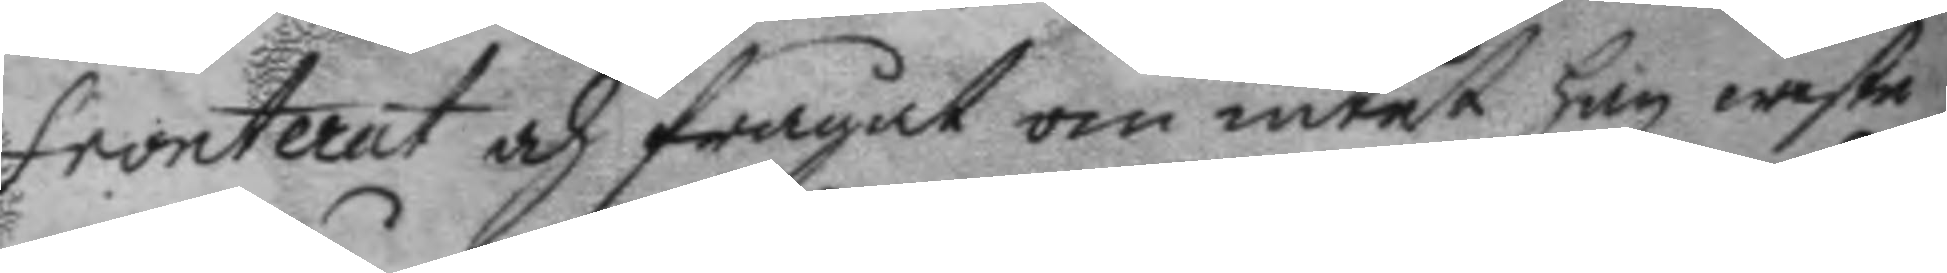fronterat och frågat om intet han wiste
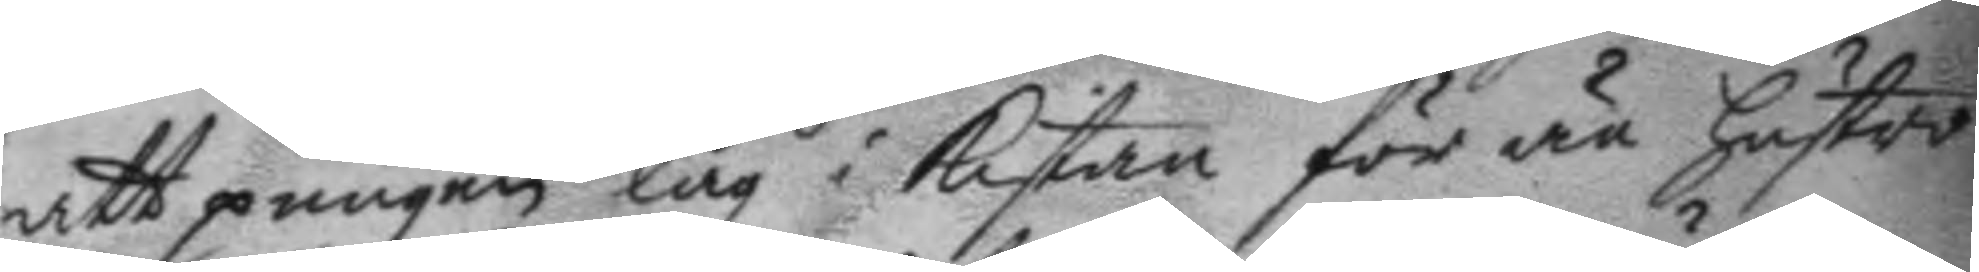att pungen låg i Kistan för än hustru
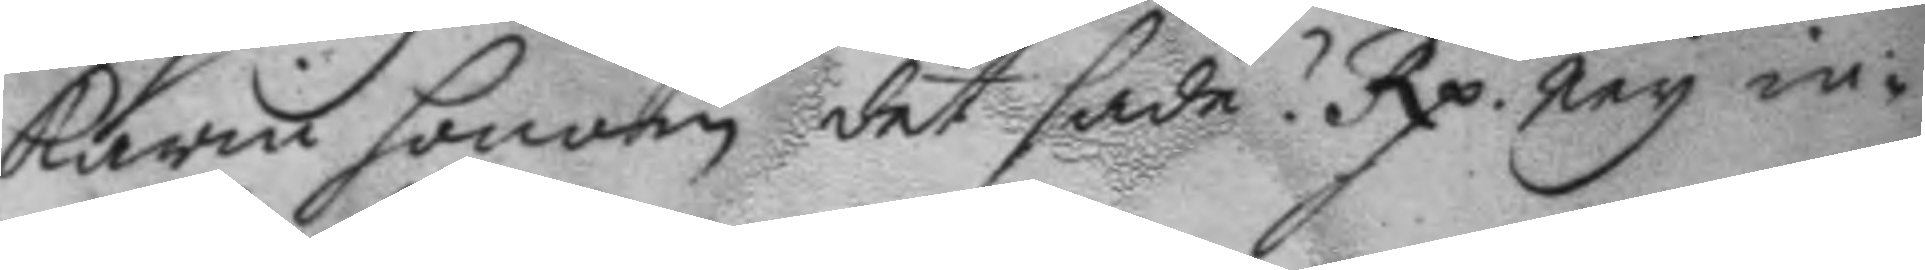Karin honom det sade? Rp. Ney in¬ 
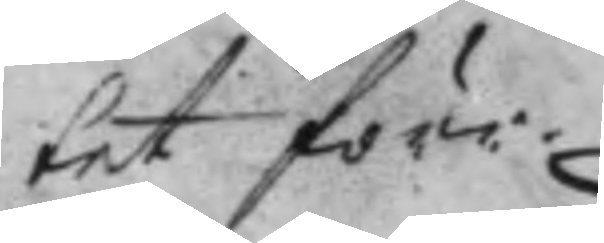fet före.
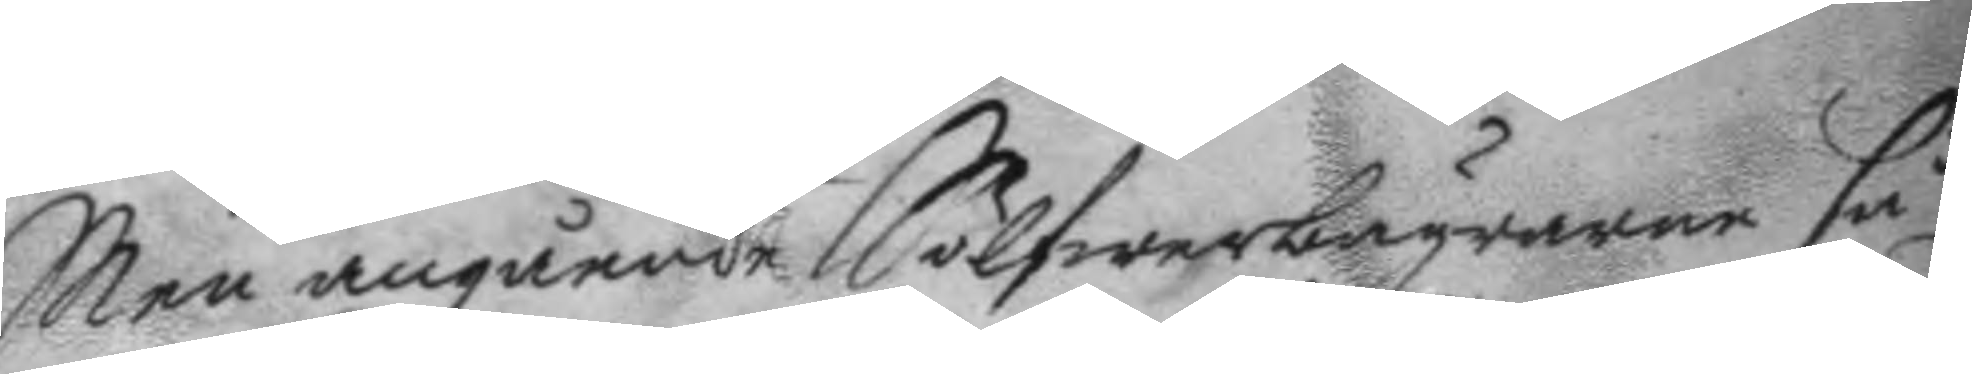Men angående Sölfwerbägrarne så
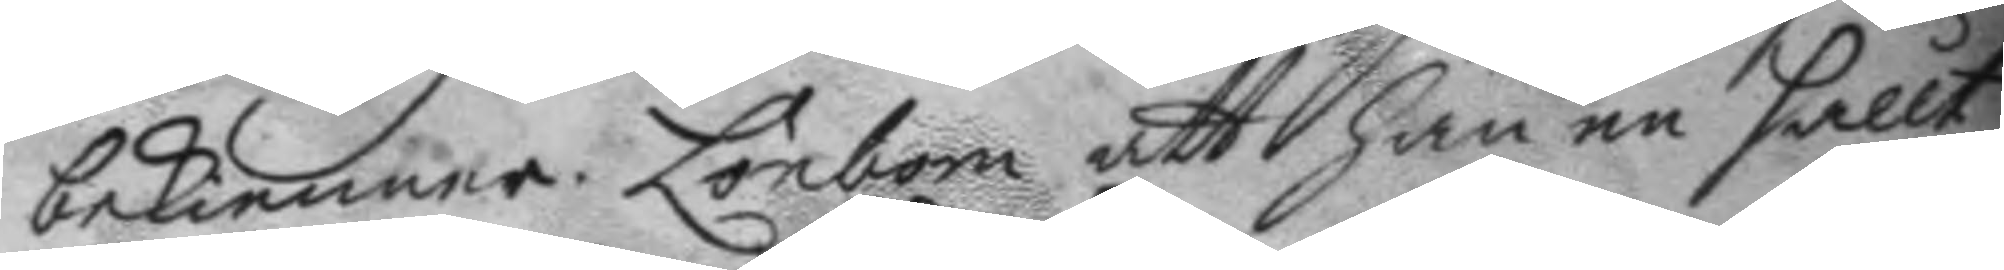bekienner Lönbom att han en sållt
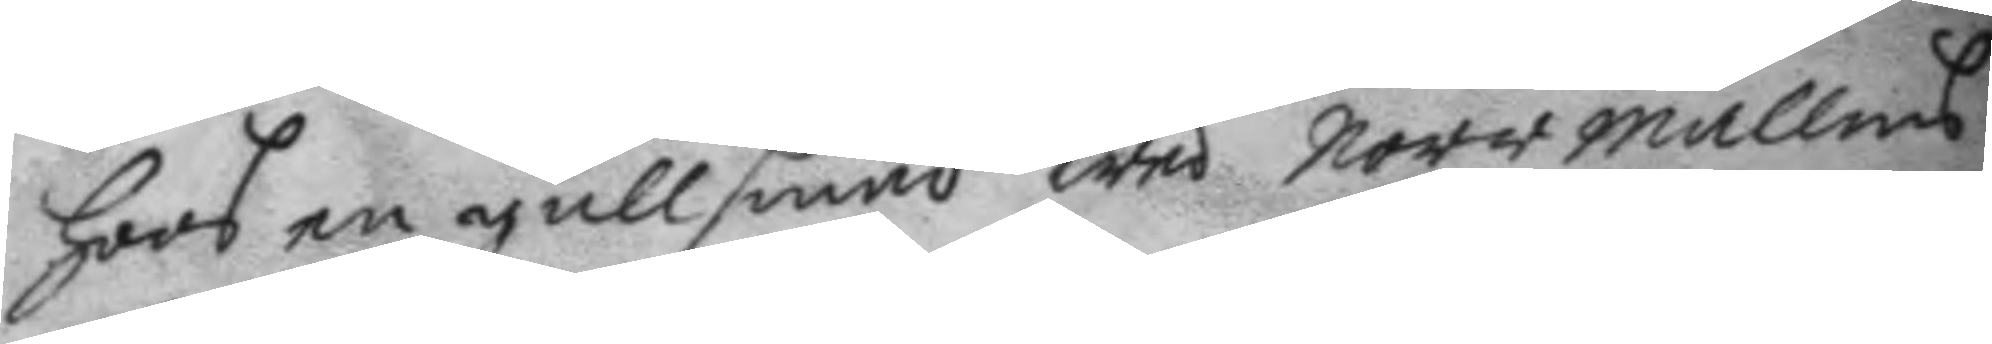hoos en gullsmed wed norrmallms
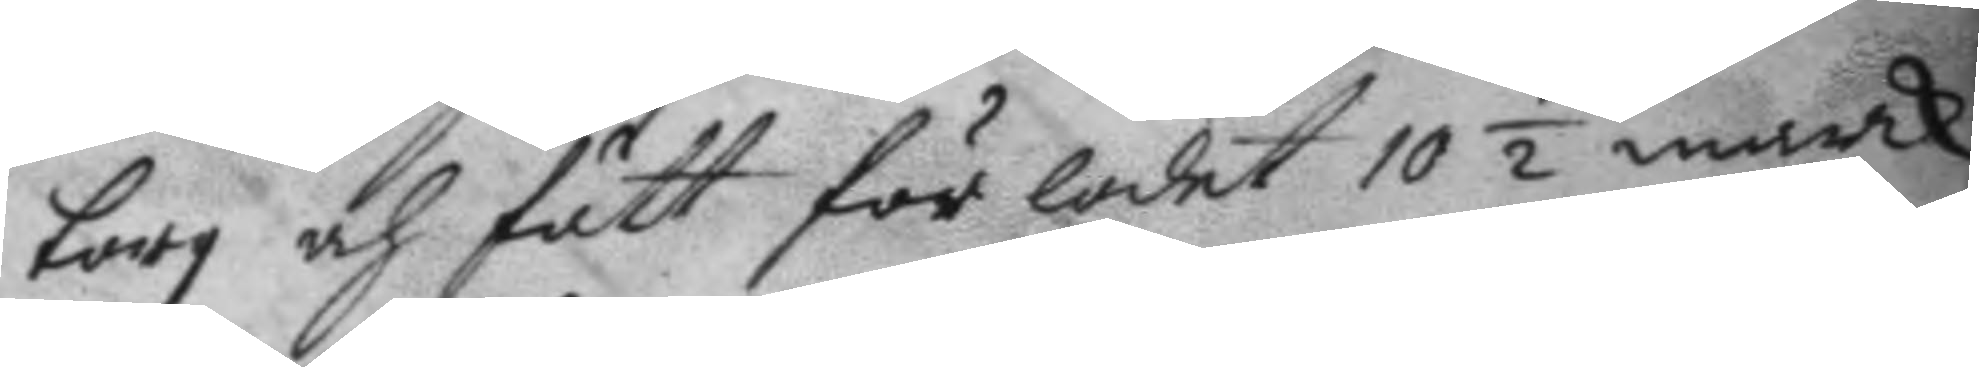torg och fått för lodet 10½ marck
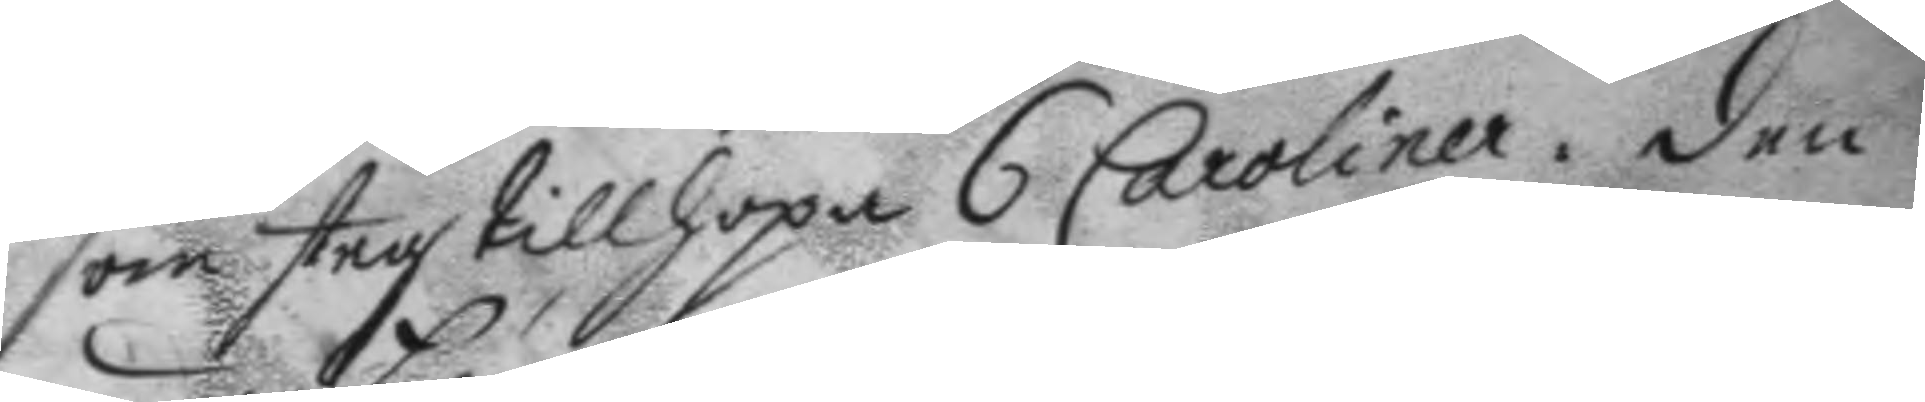som steg tillhopa 6 Caroliner. den
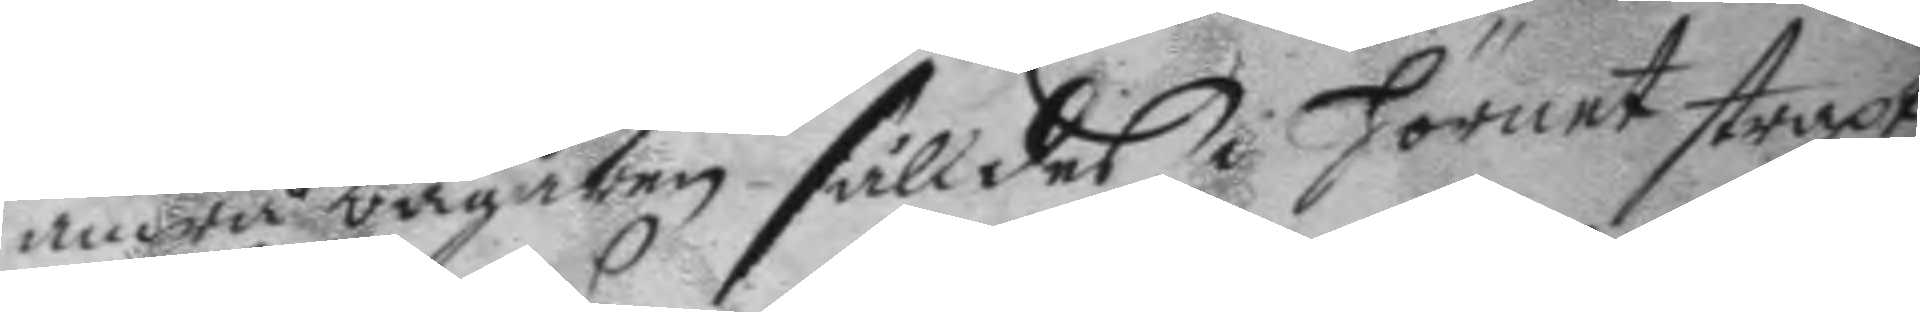andra bägaren sålldes i hörnet straxt
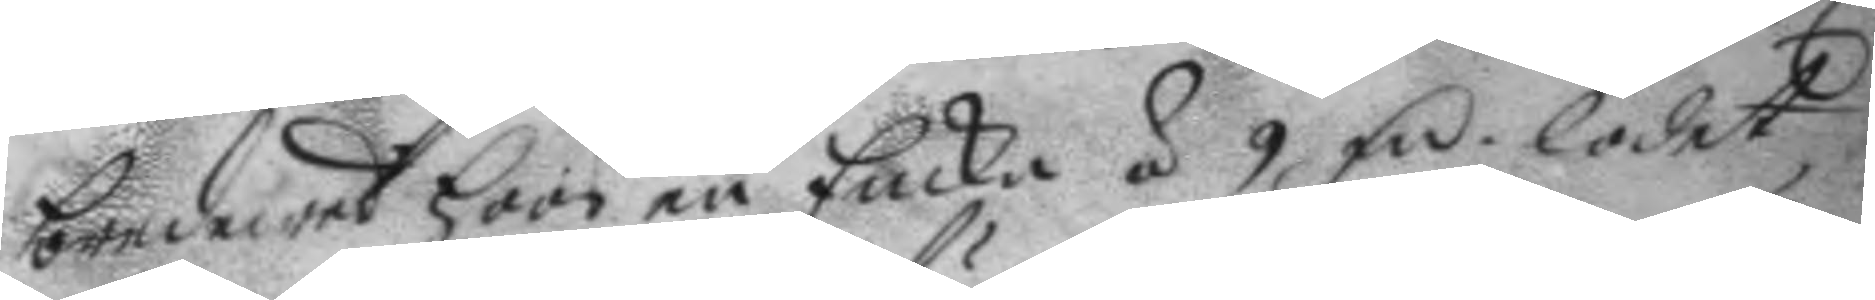bredwed hoos en Encka á 9 fm lodet, 
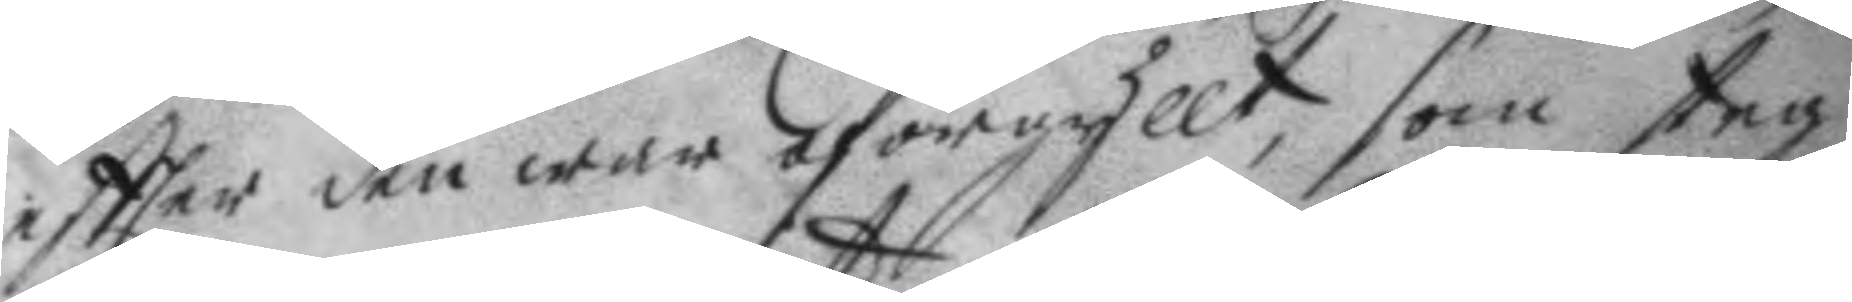eftter den war oförgyllt, som steg
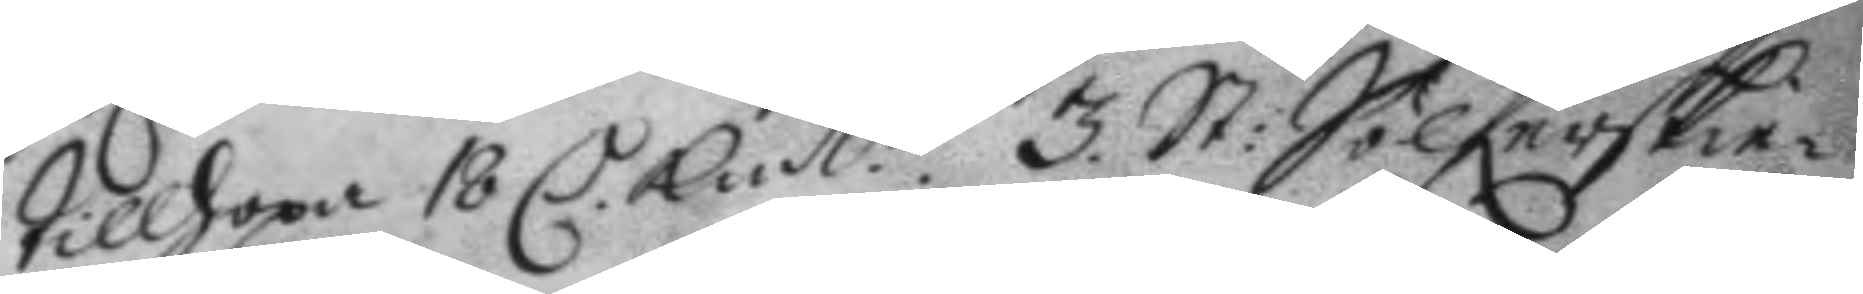tillhopa 18 C Kmt. 3. St: Sölferskie¬ 
